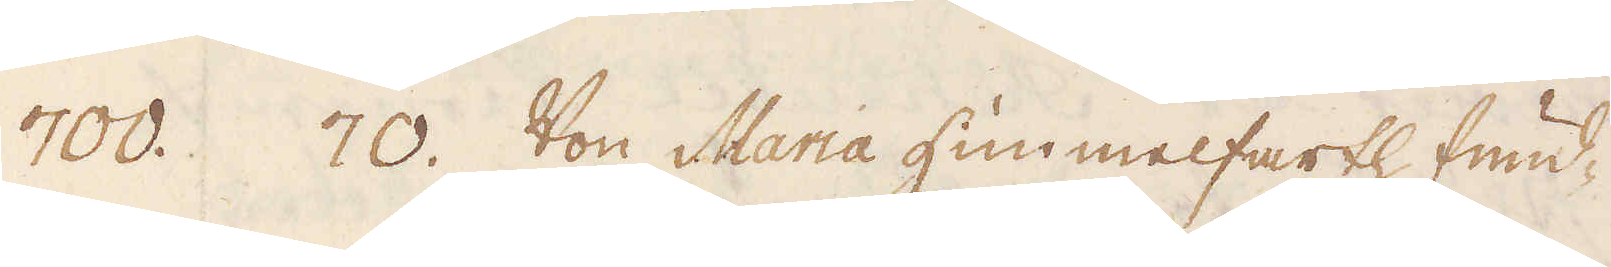700. 70. Von Maria Hummelfarth fund-
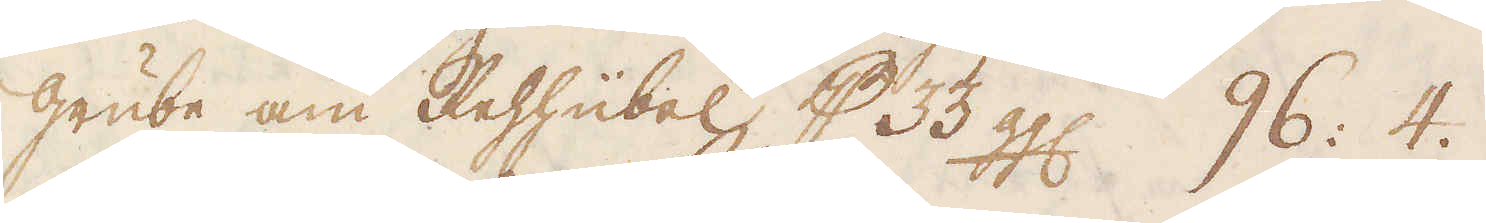grube am Rehhübel p 33 ggl. 96: 4.
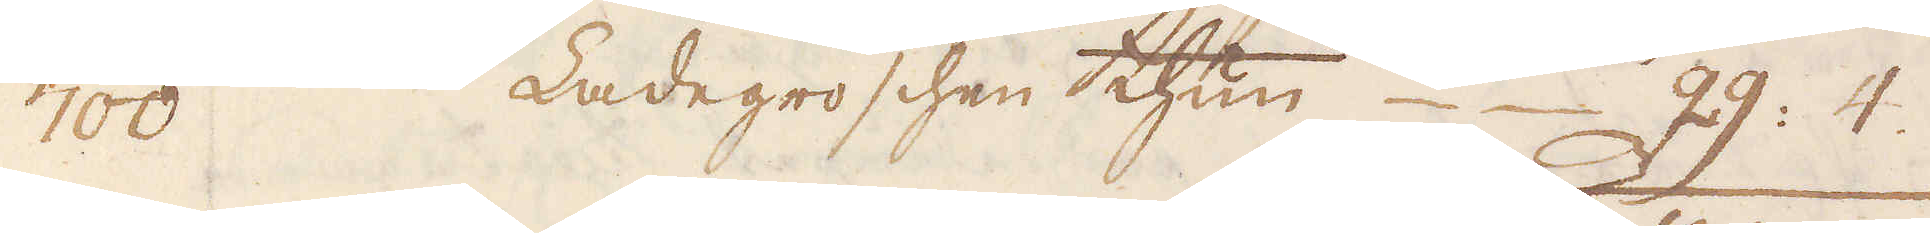700. Ladegroschen thun 29: 4.
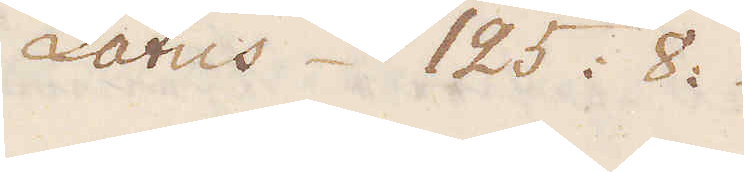Latus 125: 8:
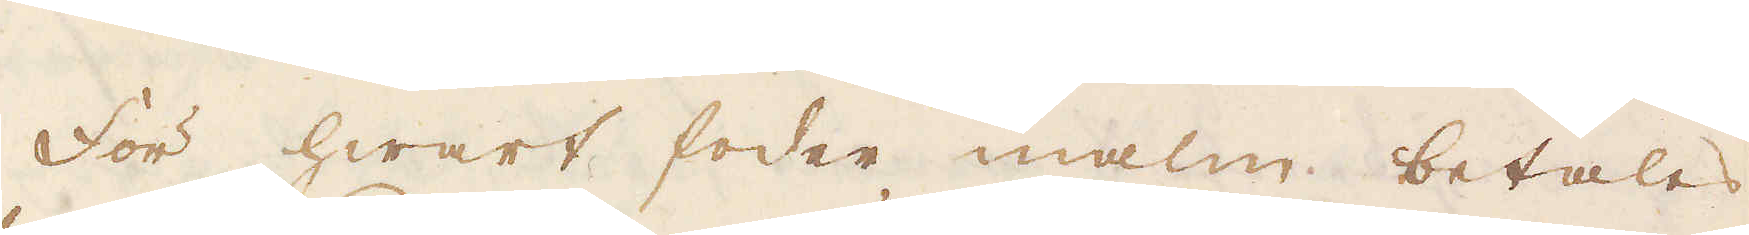För hwart foder malm betales
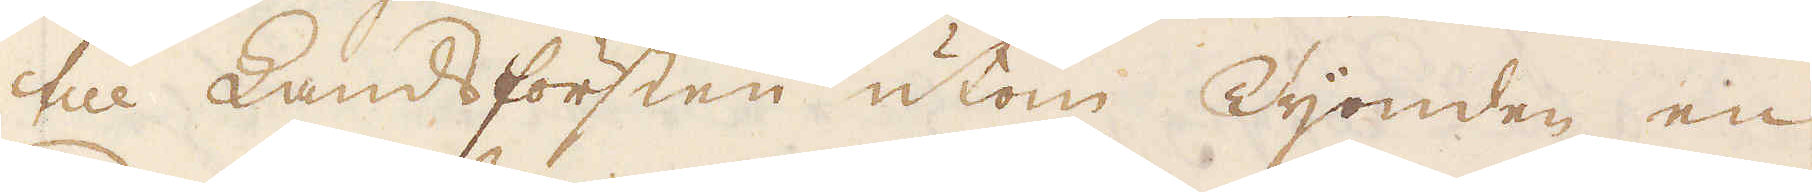till Landsförsten utom Tijonden en
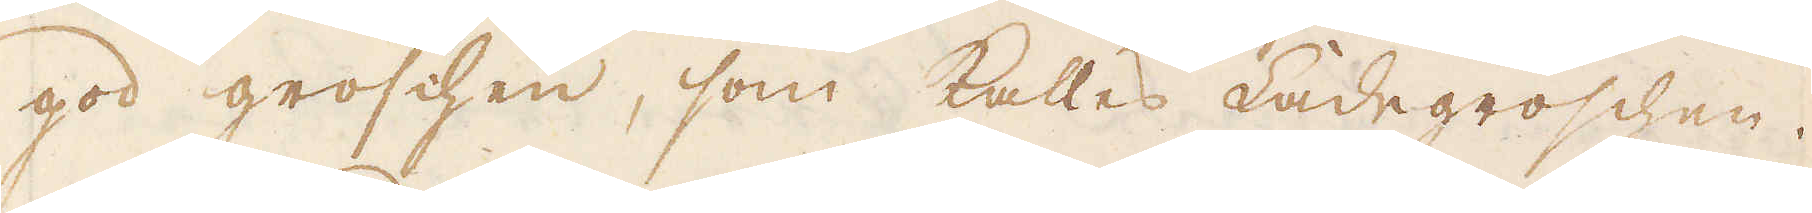god groschen, som kalles Ladegroschen.
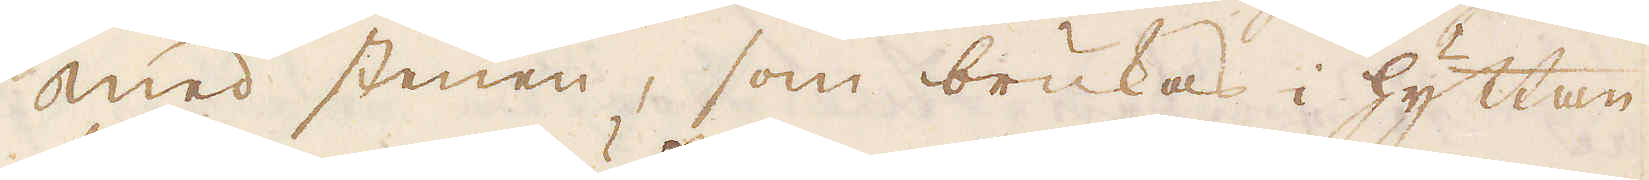Med stenen, som brukas i hyttan
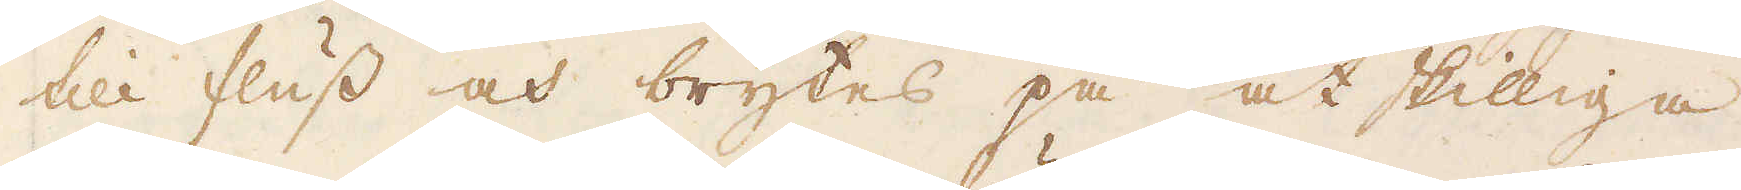till fluss och brytes på åtskilliga
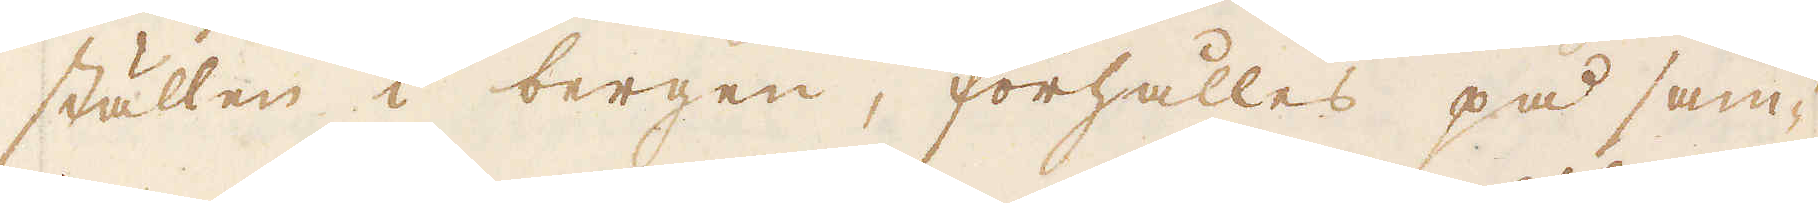ställen i bergen, förhålles på sam-
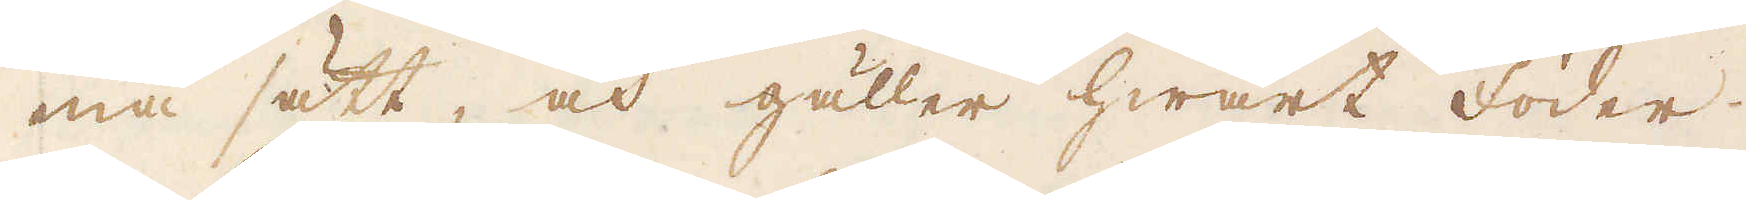ma sätt, och gäller hwart Foder
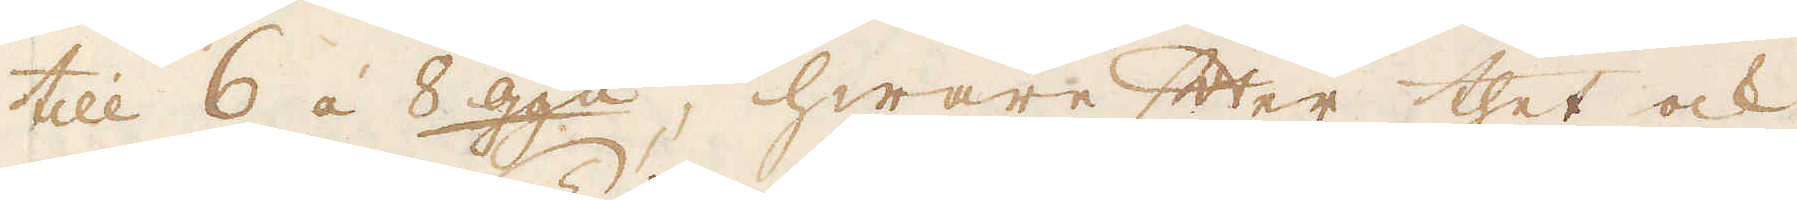till 6 á 8 gg:n, hwarefter thet ock
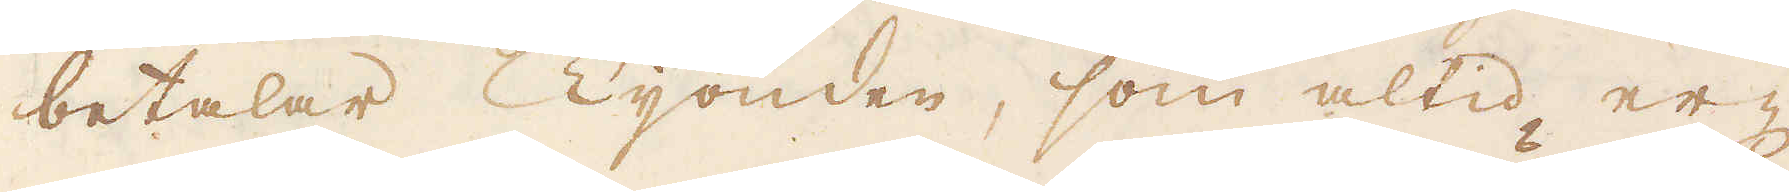betalar Tijonden, som altid er-
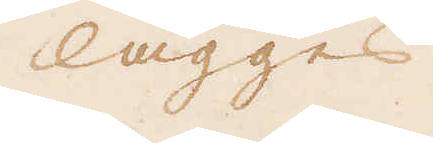lägges
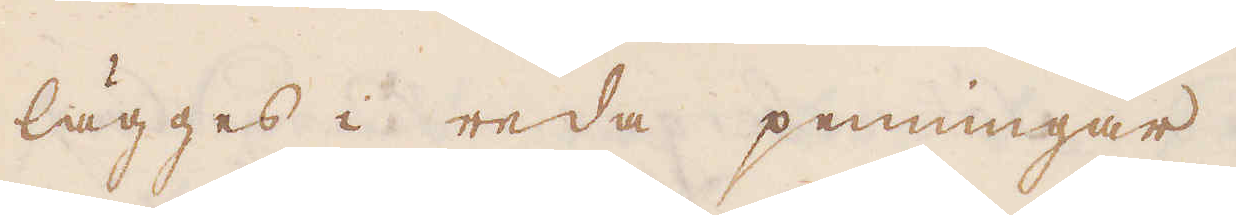lägges i reda penningar.
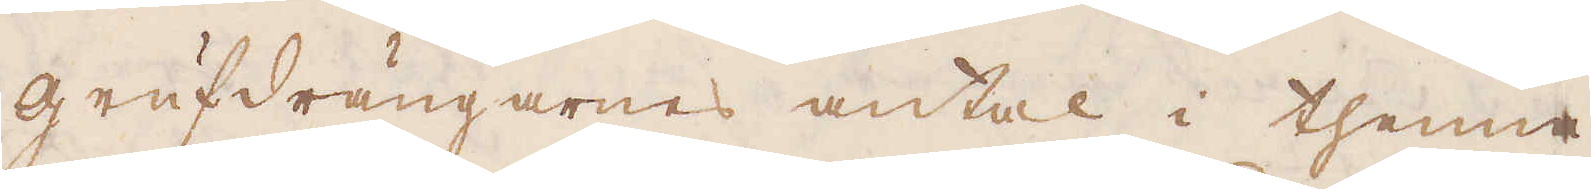Grufdrängarnas antal i thenne
